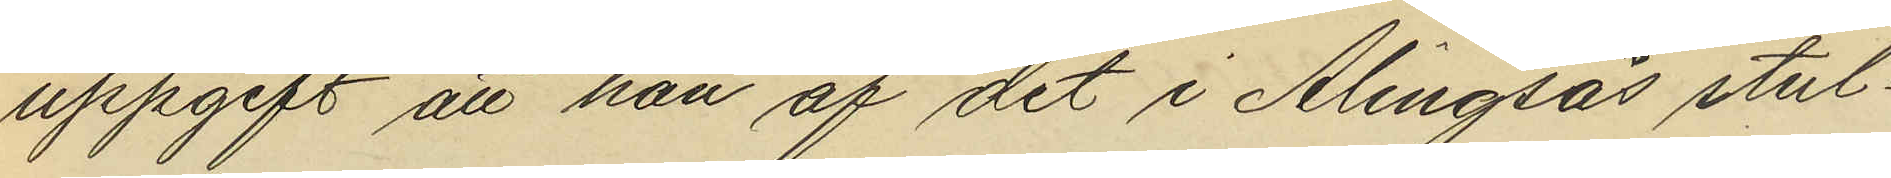uppgift att han af det i Alingsås stul¬
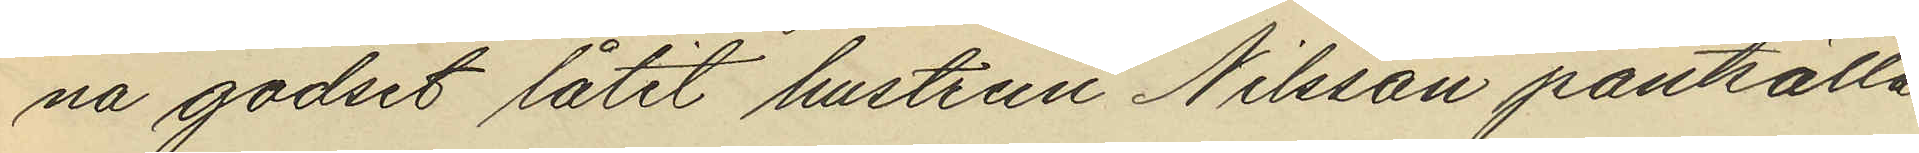na godset låtit hustrun Nilsson pantsätta
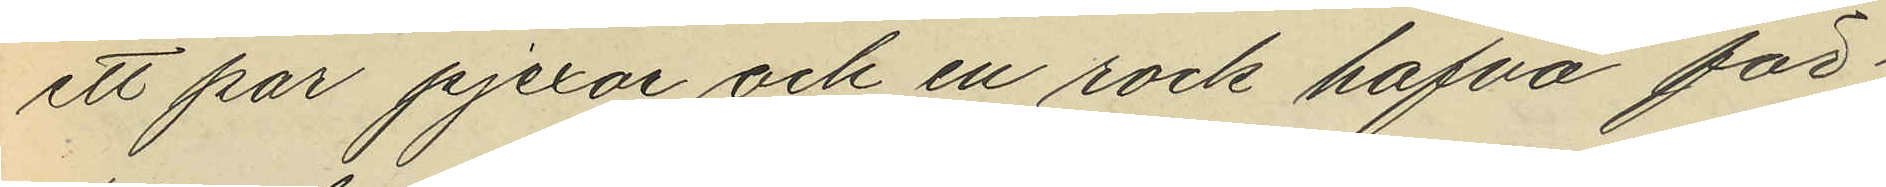ett par pjexor och en rock hafva för¬
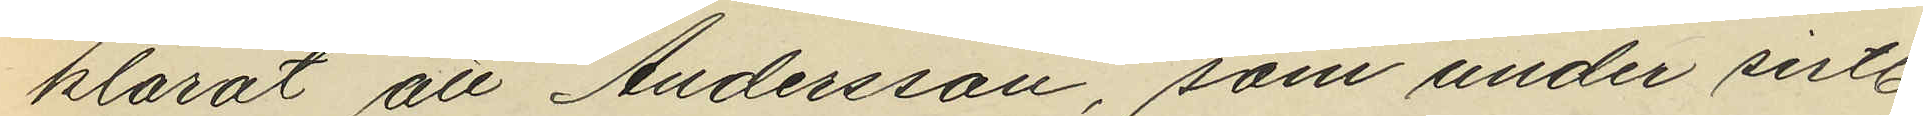klarat att Andersson, som under sistl.
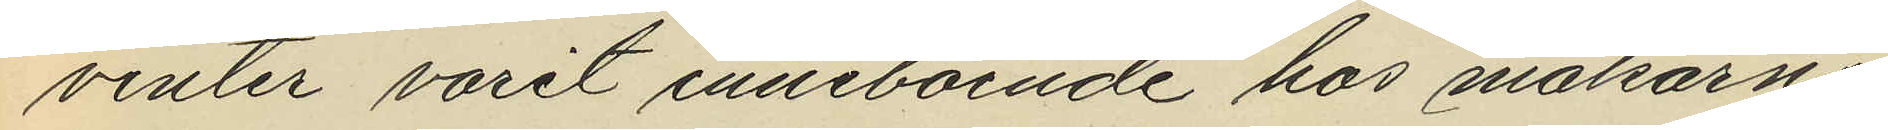vinter varit inneboende hos makarne
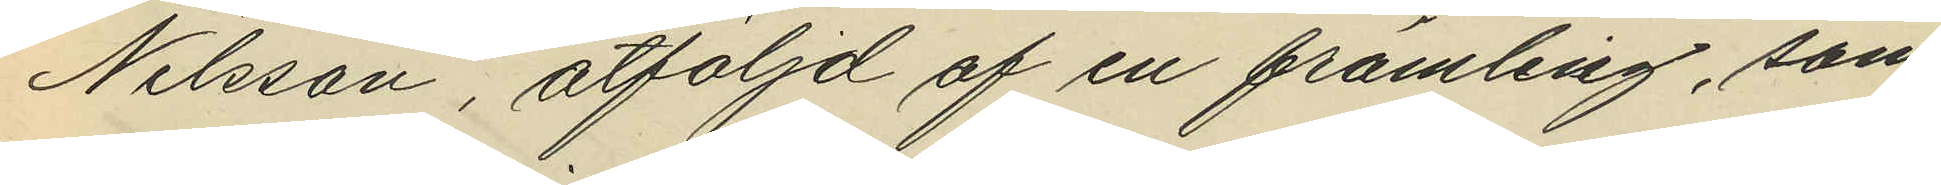Nilsson, åtföljd af en främling, som
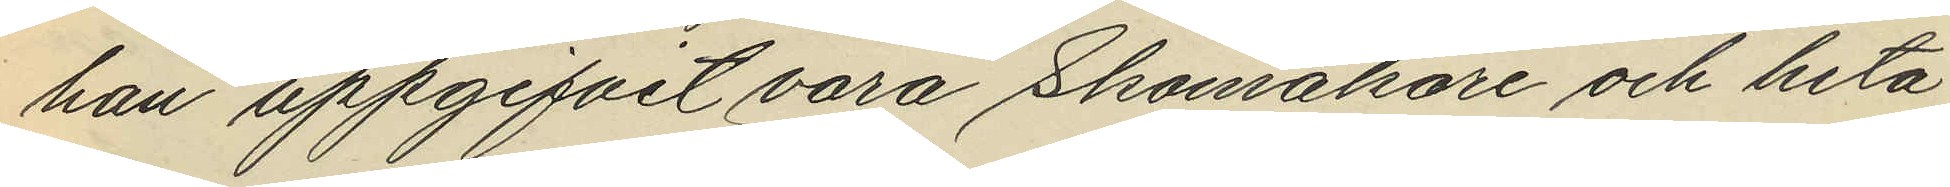han uppgifvit vara Skomakare och heta
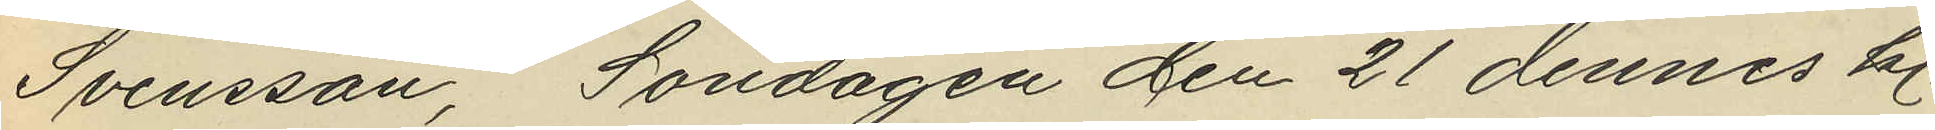Svensson, Söndagen den 21 dennes kl.
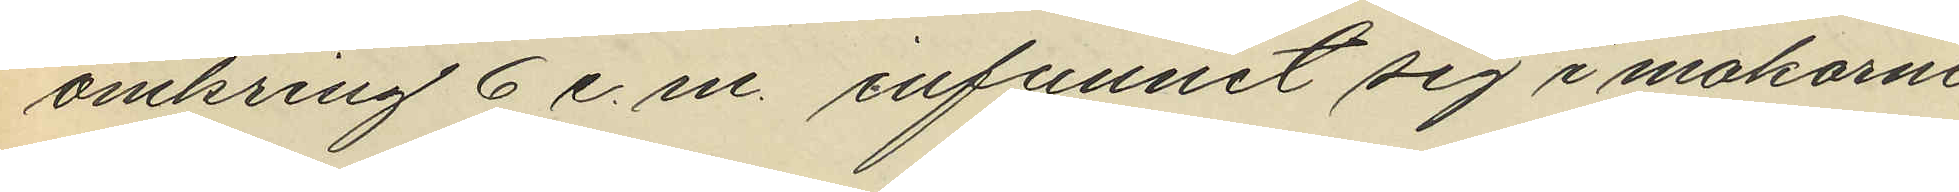omkring 6 e. m. infunnit sig i makarne
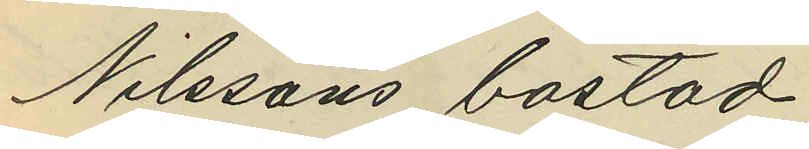Nilssons bostad;
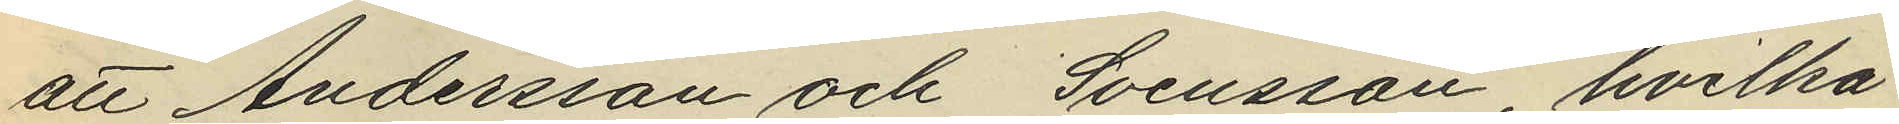att Andersson och Svensson, hvilka
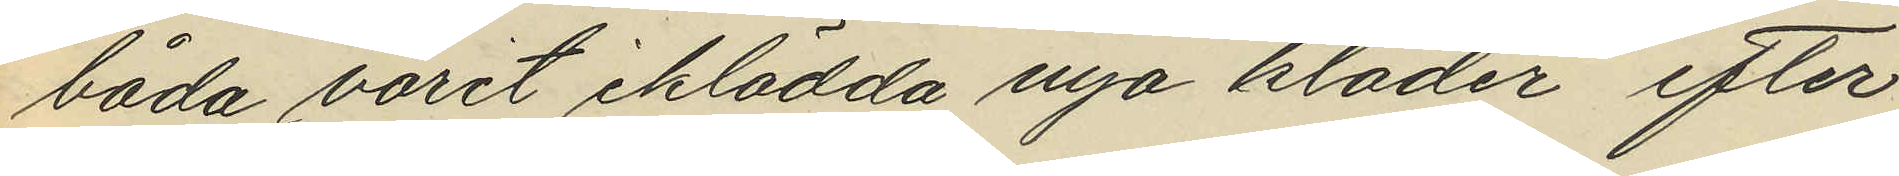båda varit iklädda nya kläder efter
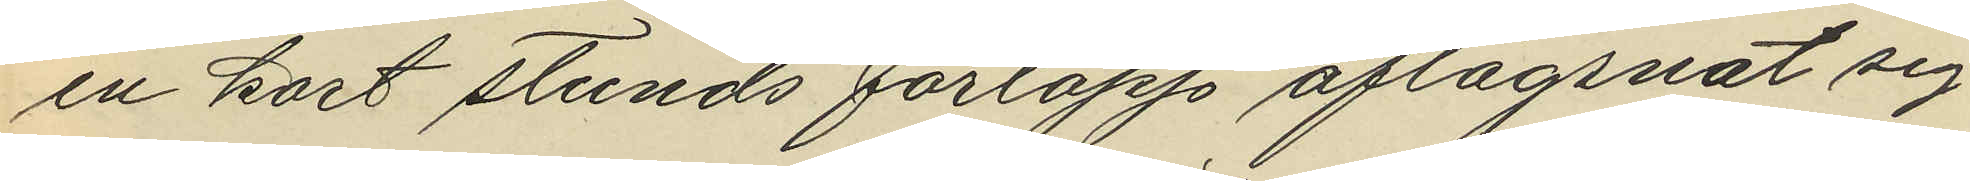en kort stunds förlopp aflägsnat sig
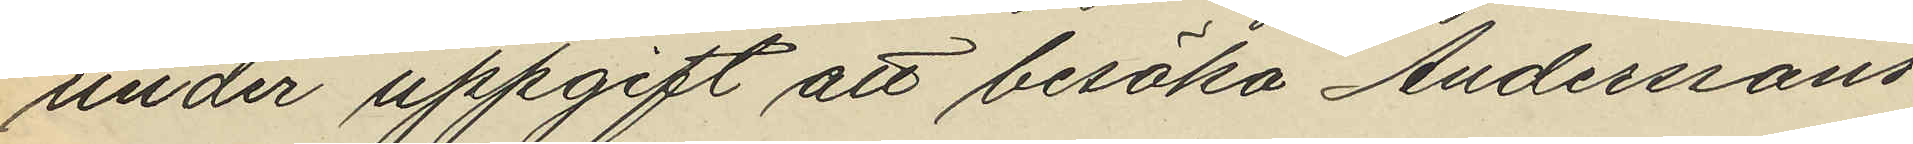under uppgift att besöka Anderssons
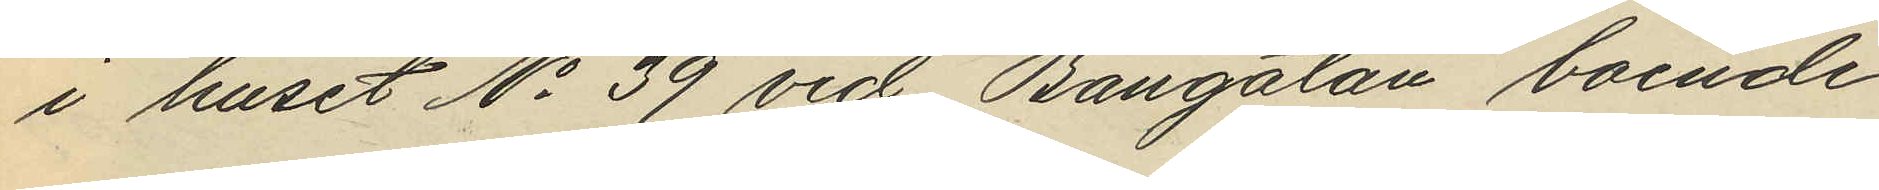i huset No 39 vid Bangatan, boende
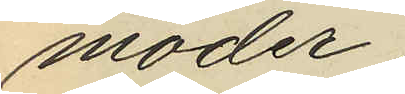moder,
